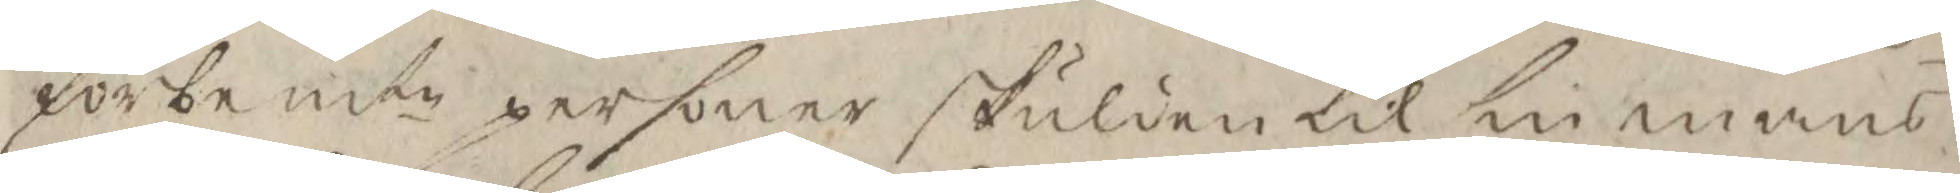förbemte personer skulden til sin mans
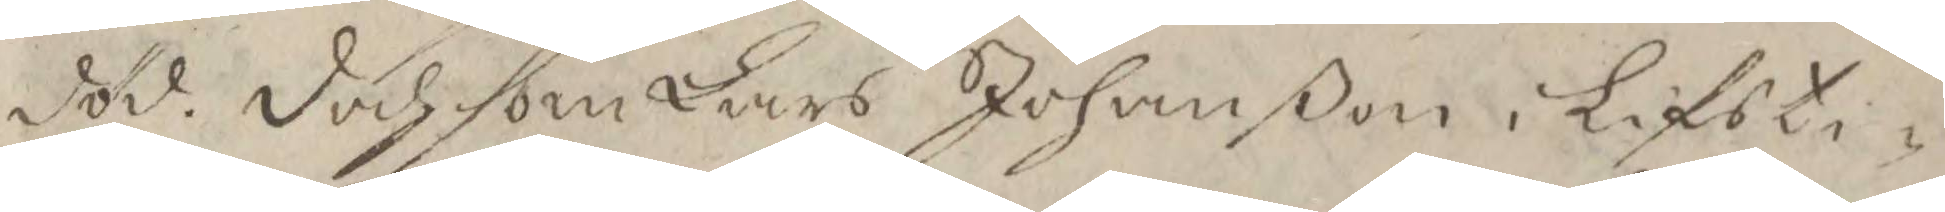död. doch som Lars Johanßon i Lifsti¬
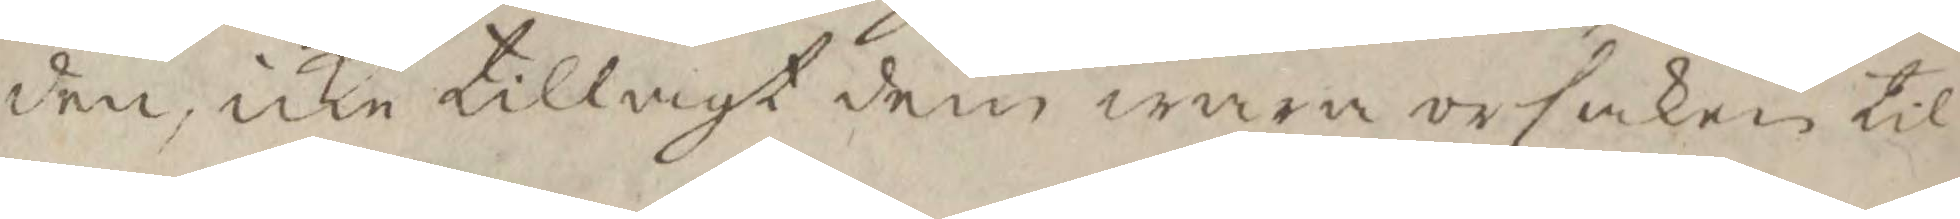den, icke tillvigt dem wara orsaken til
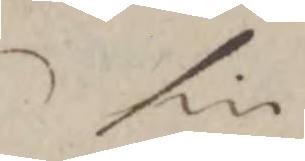sin
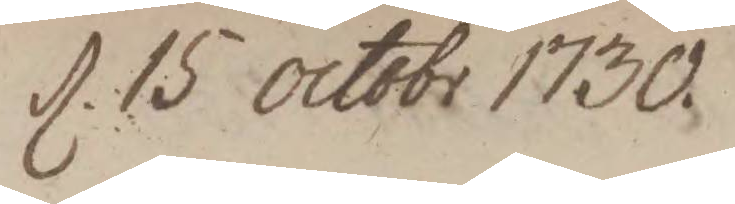d. 15 octobr 1730
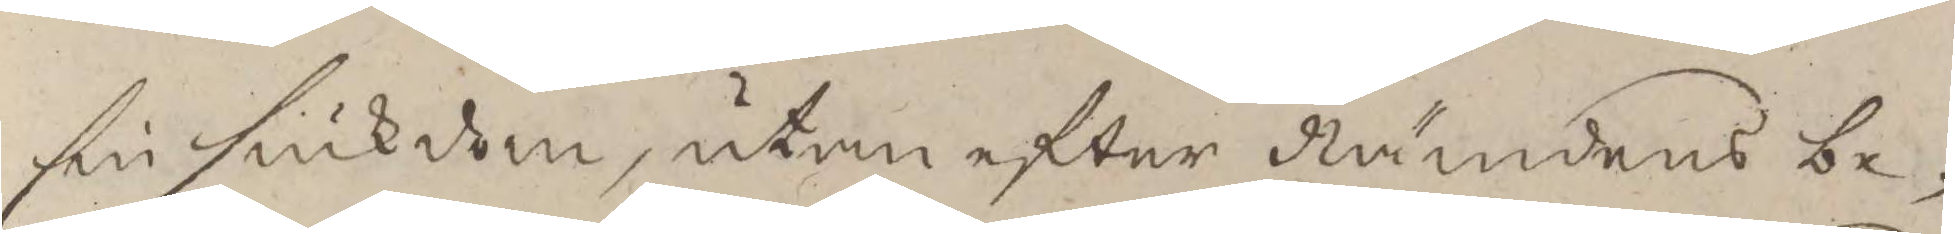sin siukdom, utan efter Nämndens be¬
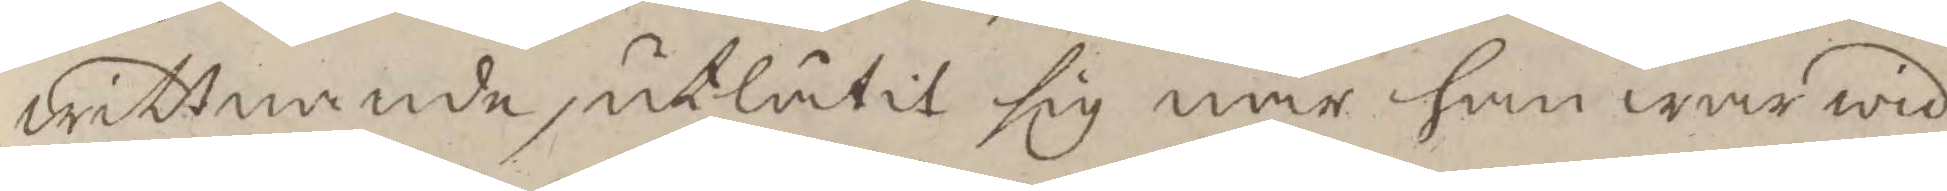wittnande, utlåtit sig när han war wid
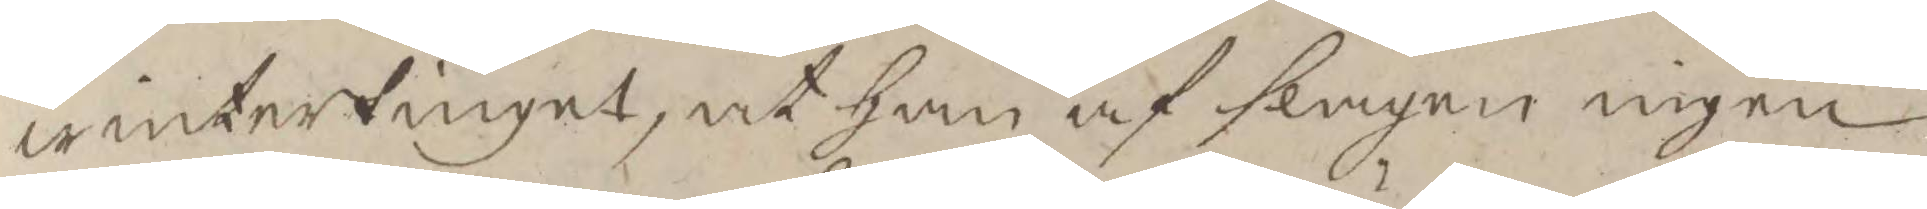wintertinget, at han af slagen ingen
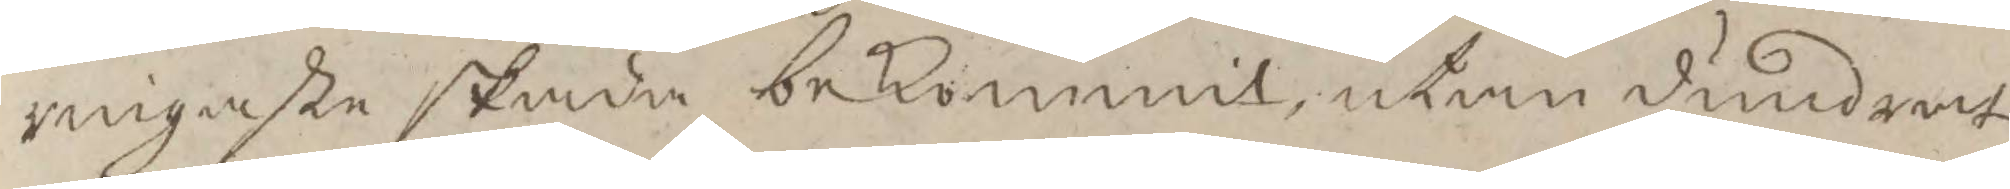ringaste skada bekommit, utan dundrat
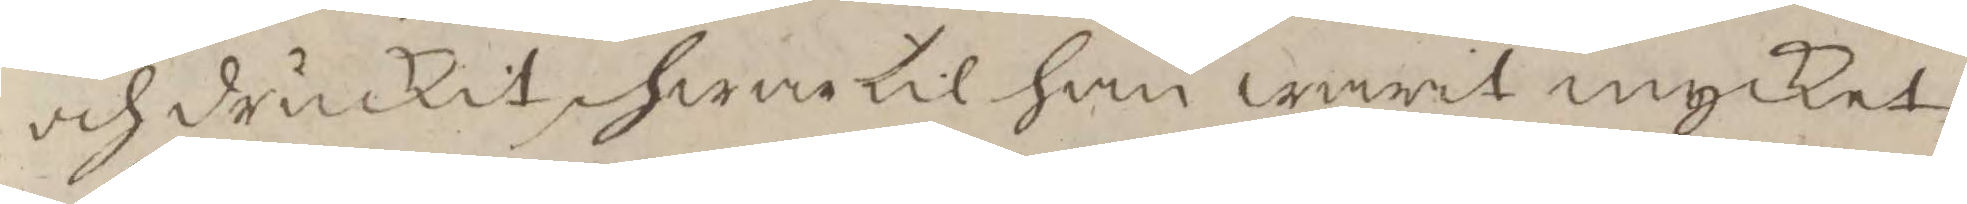och druckit, hwartill han warit mycket
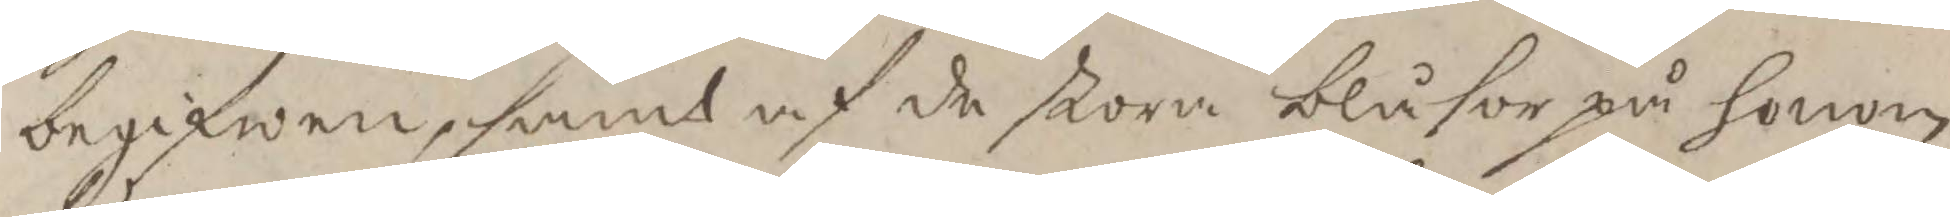begifwen, samt af de stora blåsor på honom
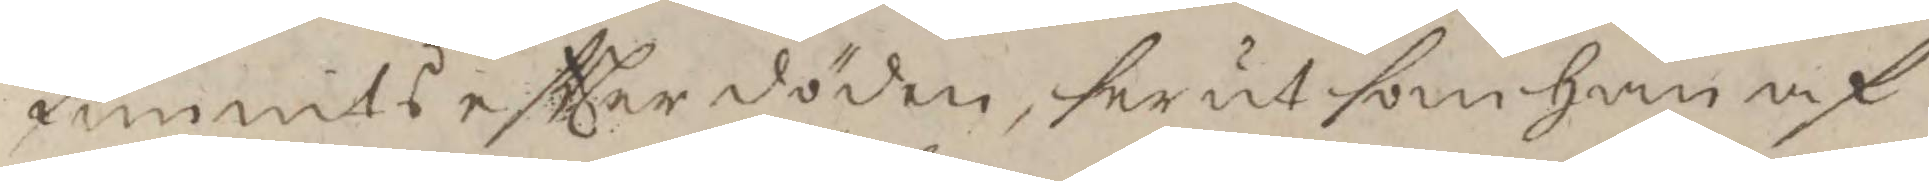funnits eftter döden, ser ut som han af
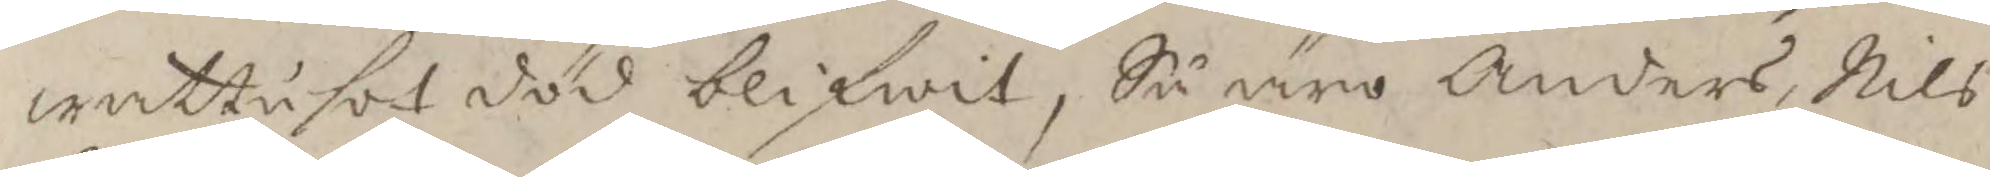wattusot död blifwit, Så äro Anders, Nils
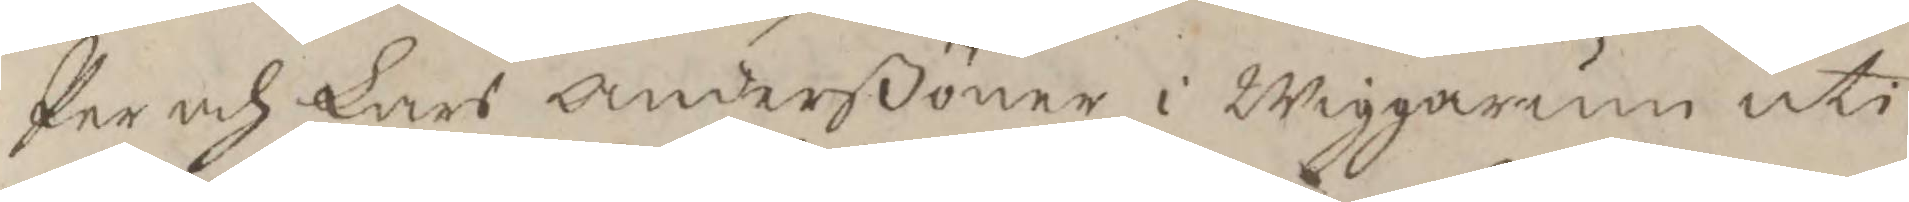Per och Lars Anderßöner i Wiggarum uti
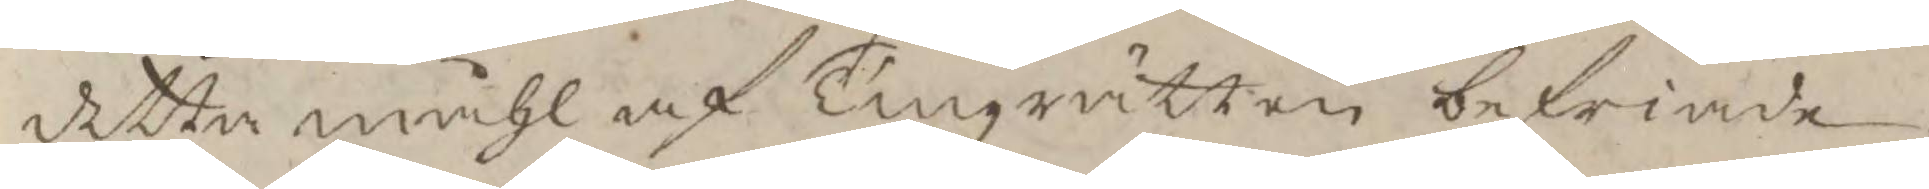detta måhl af Tingzrätten befriade.
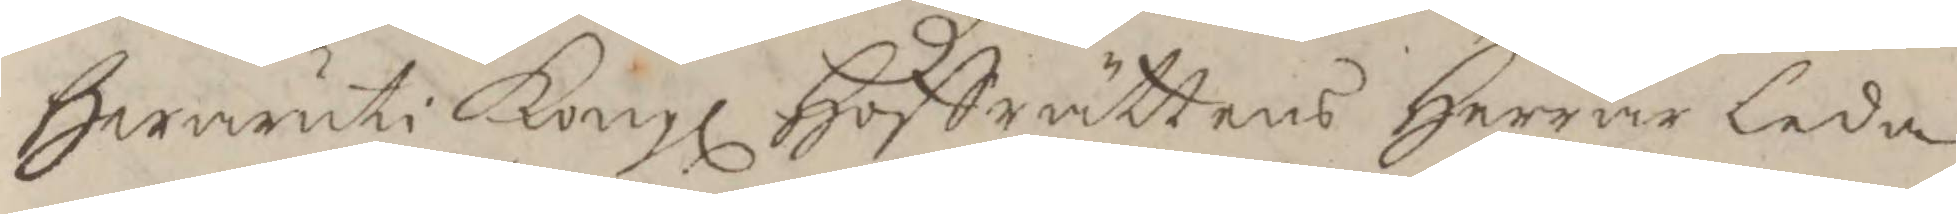Hwaruti Kongl Hoffrättens Herrar Leda¬
